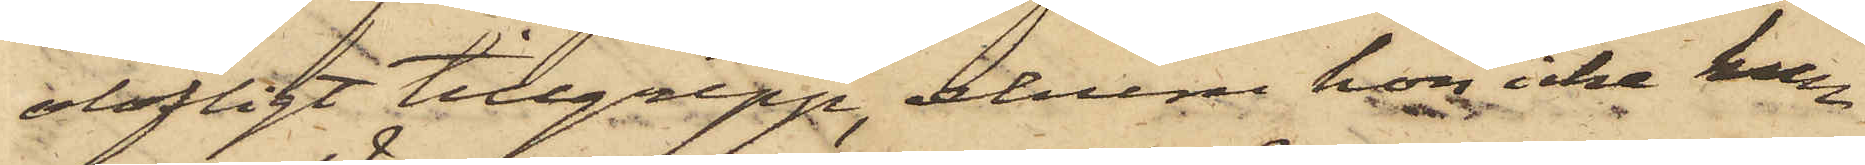olofligt tillgrepp, ehuru hon icke kun¬
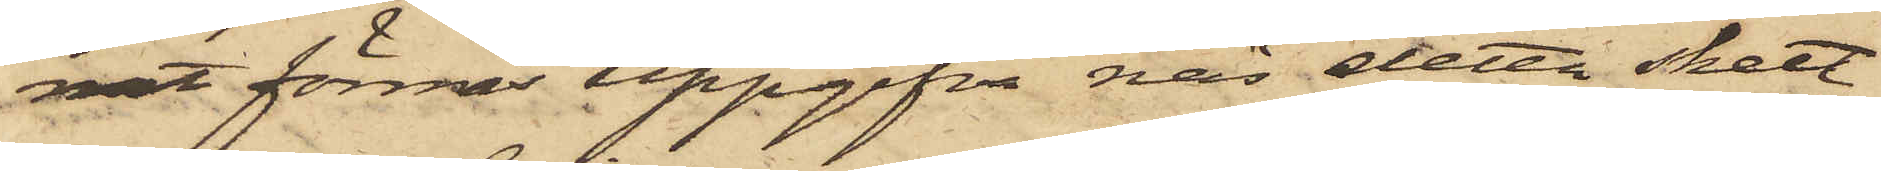nat förmås uppgifva när detta skett
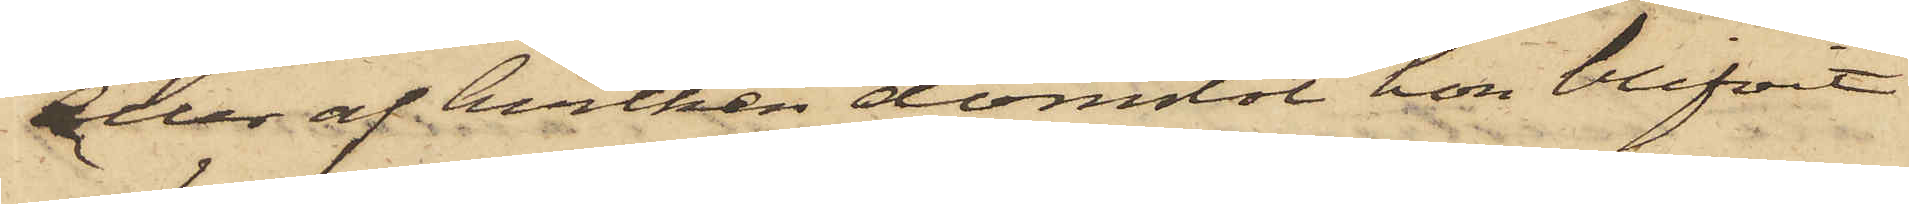eller af hvilken domstol hon blifvit
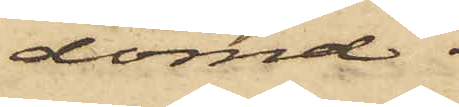dömd.
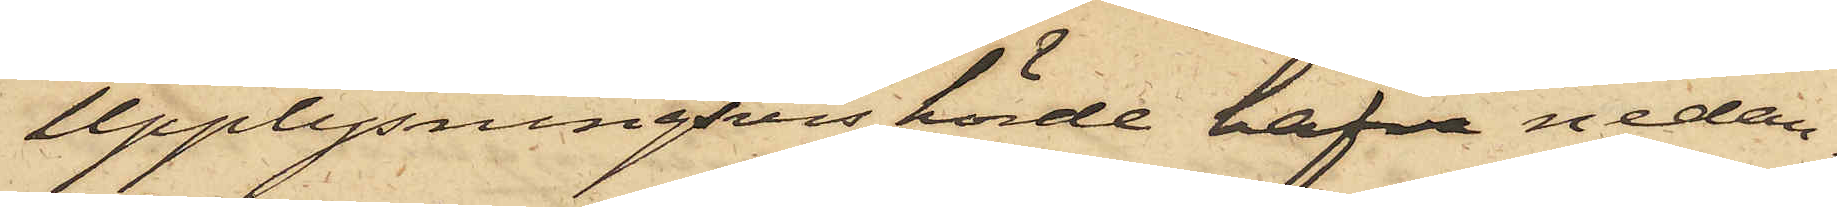Upplysningvis hörde hafva nedan¬
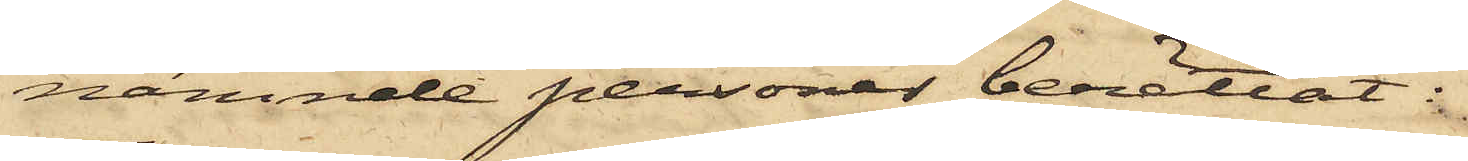nämnde personer berättat:
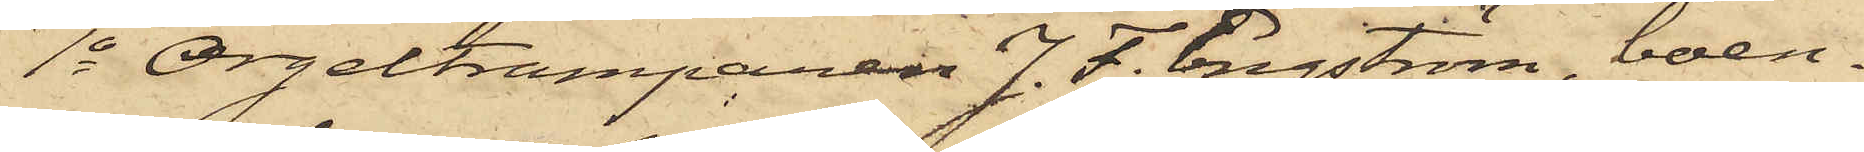1o Orgeltramparen J. F. Engström, boen¬
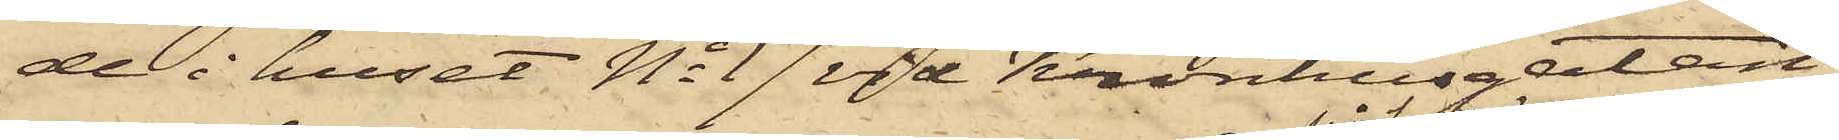de i huset No 17 vid Kronhusgatan,
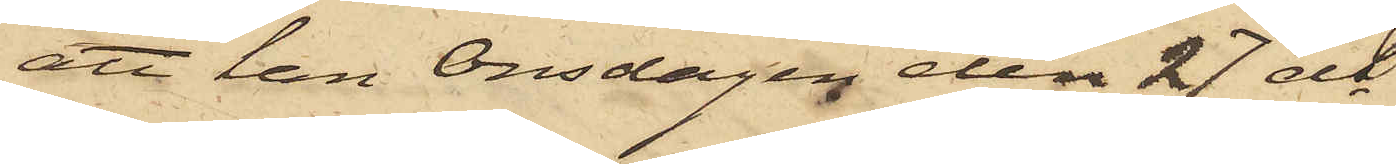att han Onsdagen den 27 ds
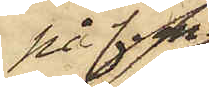på f.m.
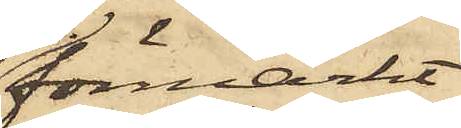förmärkt
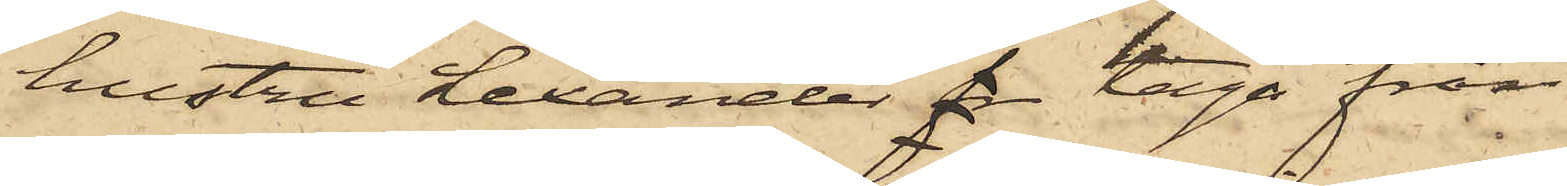hustru Lexander fr taga från
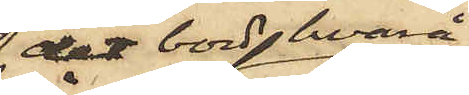det bord hvarå
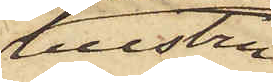hustru
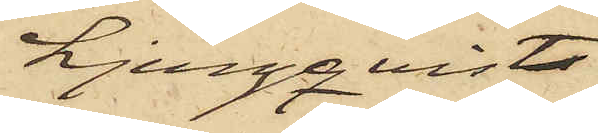Ljungqvist
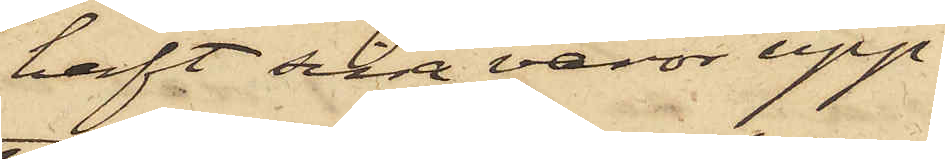haft sina varor upp¬
